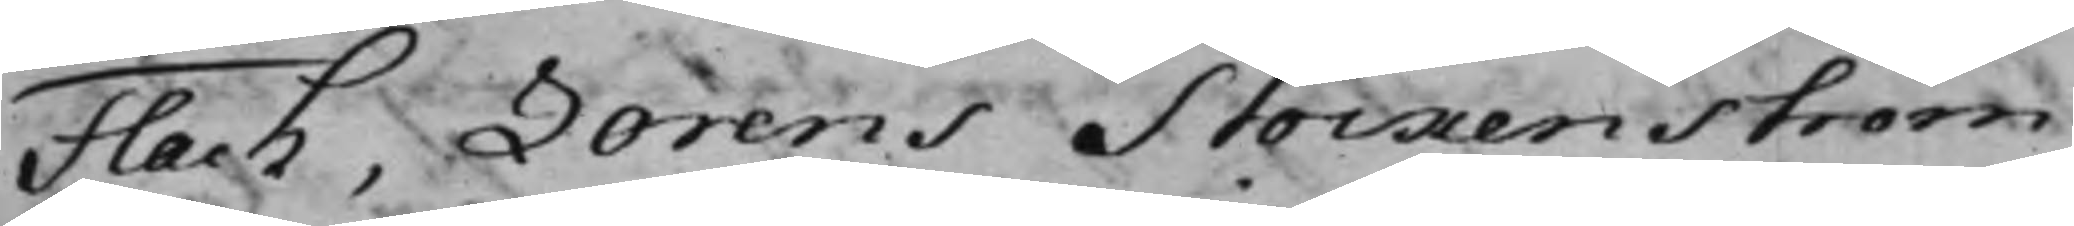Flach, Lorens Stockenström
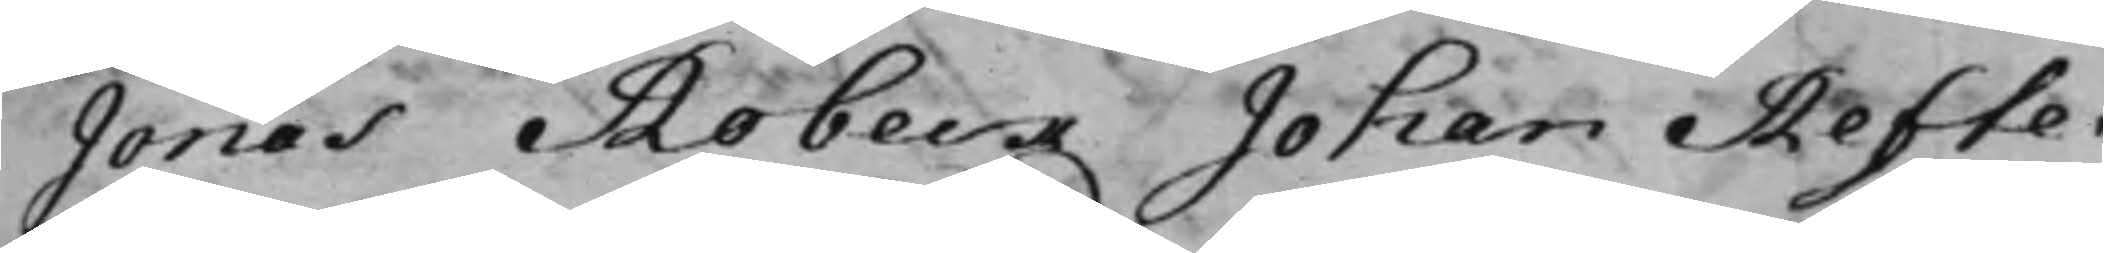Jonas Robeck Johan Refte¬
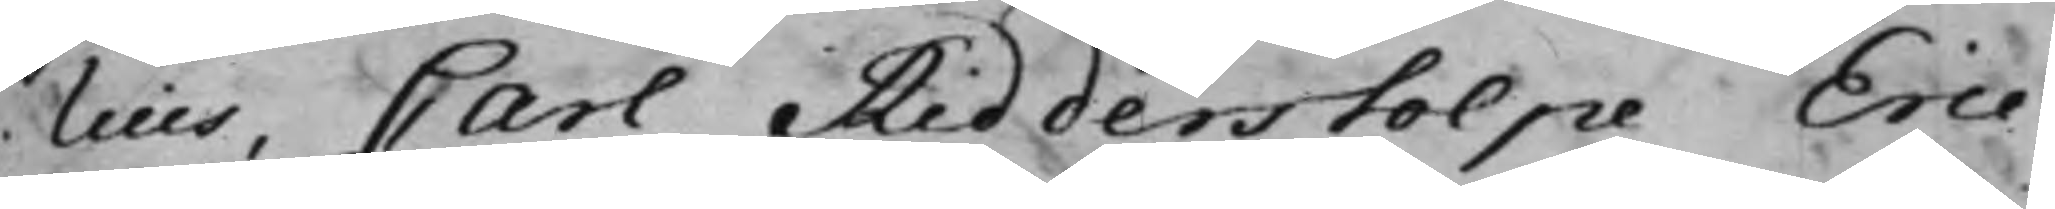lius, Carl Ridderstolpe Eric
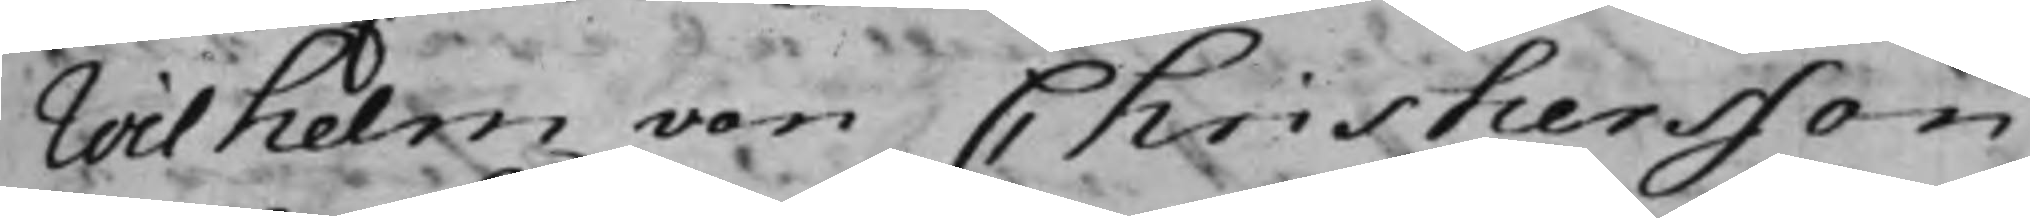Wilhelm von Christiersson
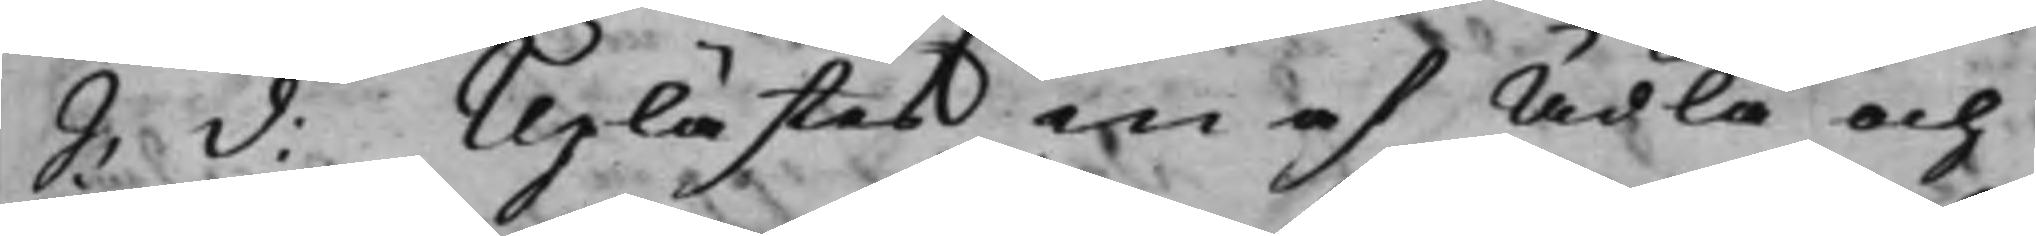S: d: Uplästes en af Ädla och
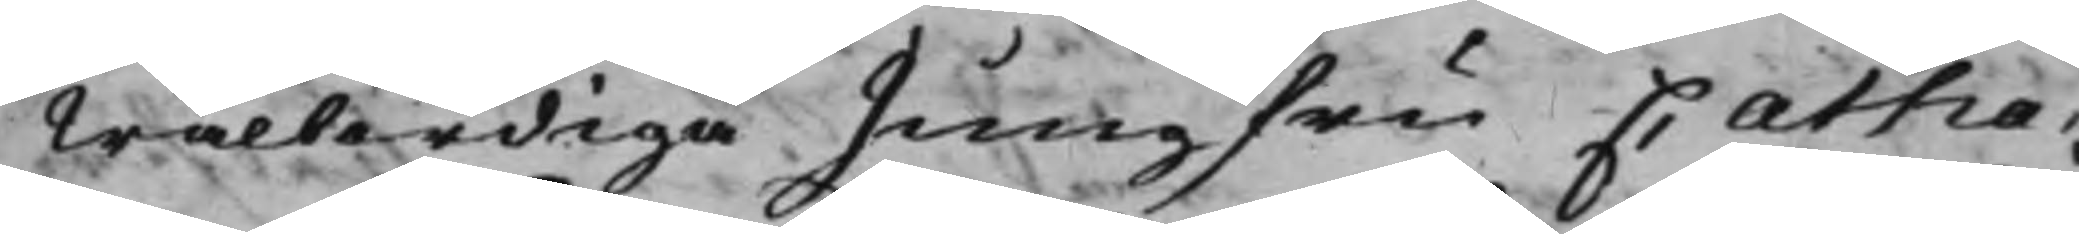Wälbördige Jungfru Catha¬
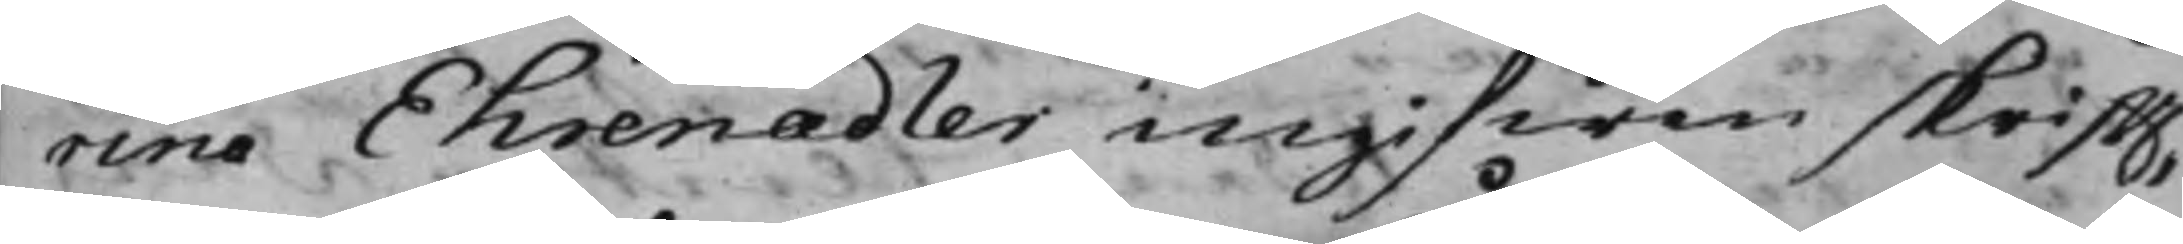rina Ehrenadler ingifwen skrifft,
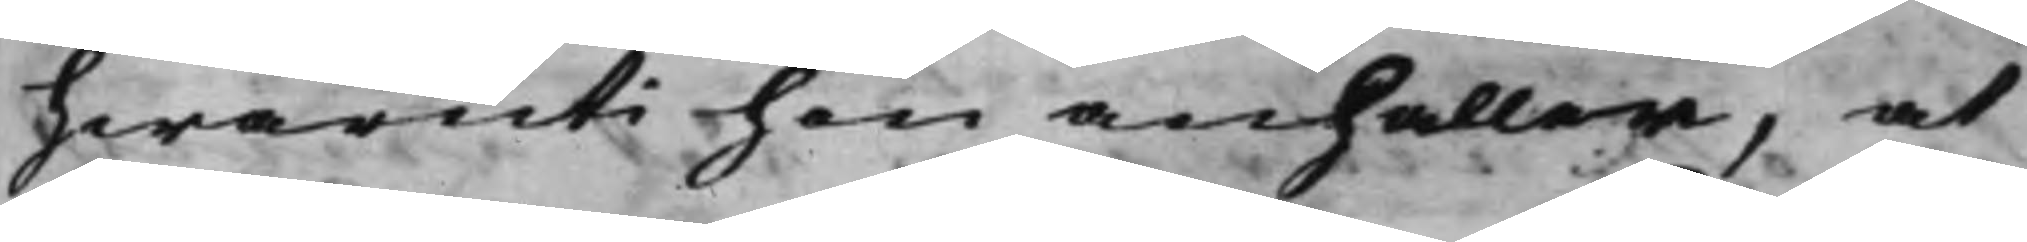hwaruti hon anhåller, at
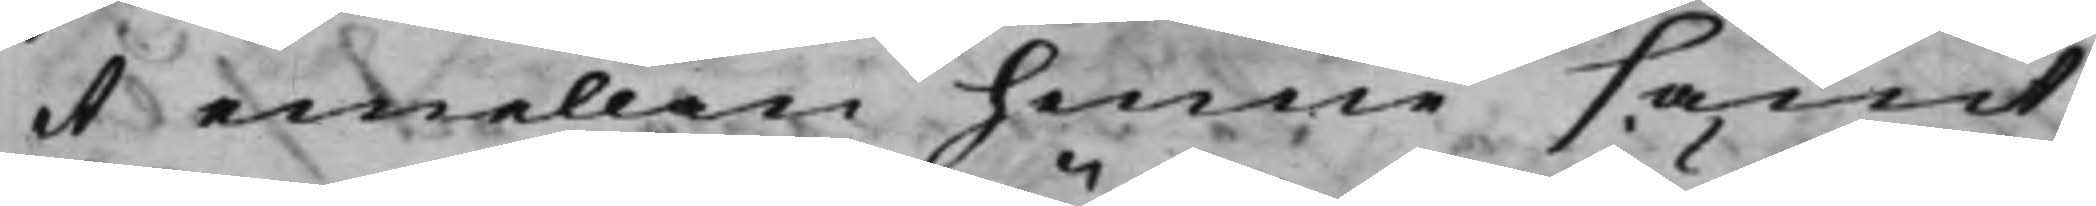et emellan henne samt
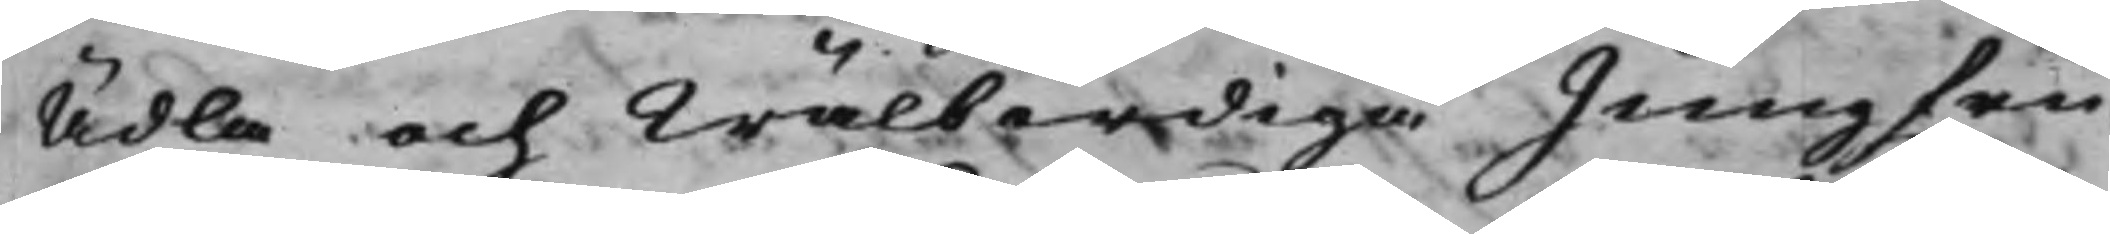Ädla och Wälbördiga Jungfru
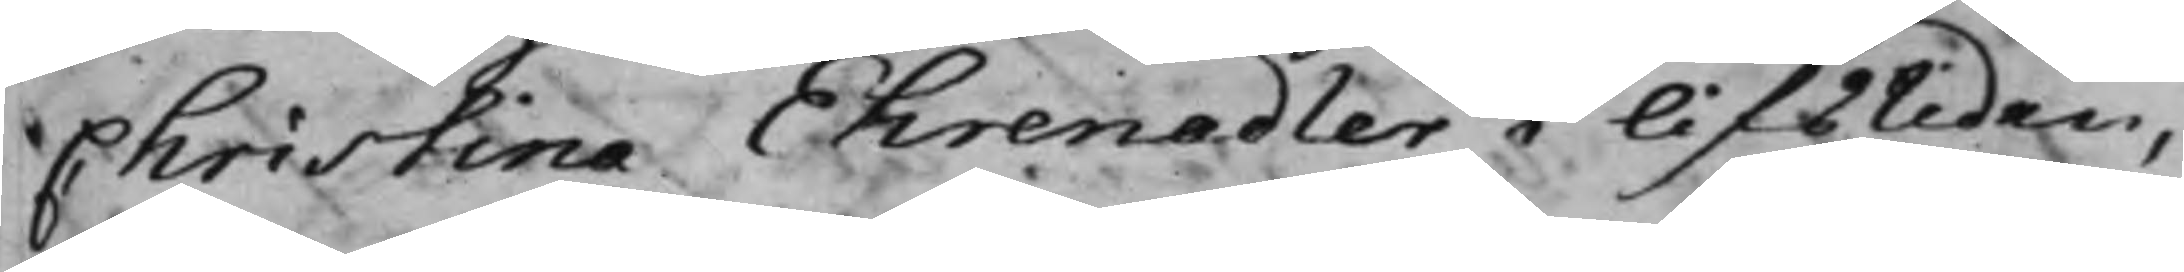Christina Ehrenadler i lifstiden,
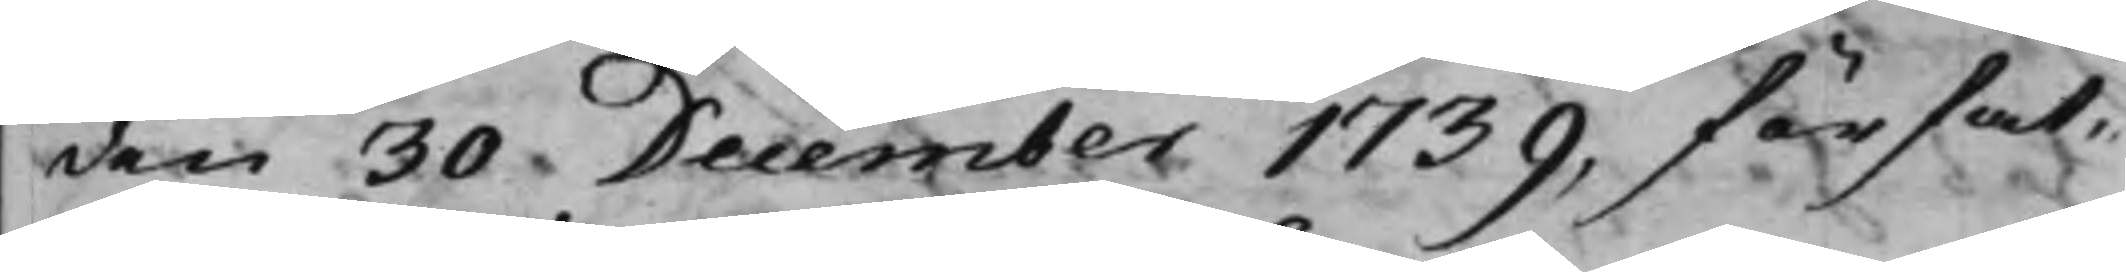den 30 December 1739, förfat¬
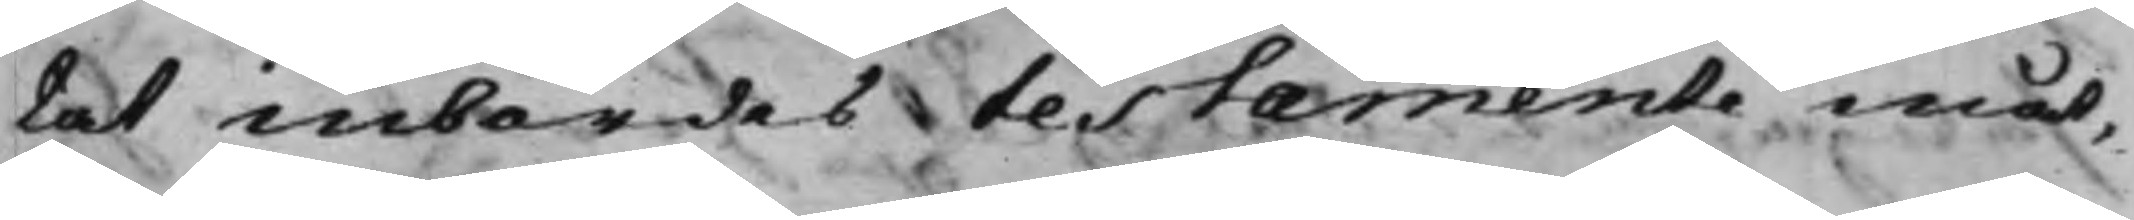tat inbördes testamente måt¬
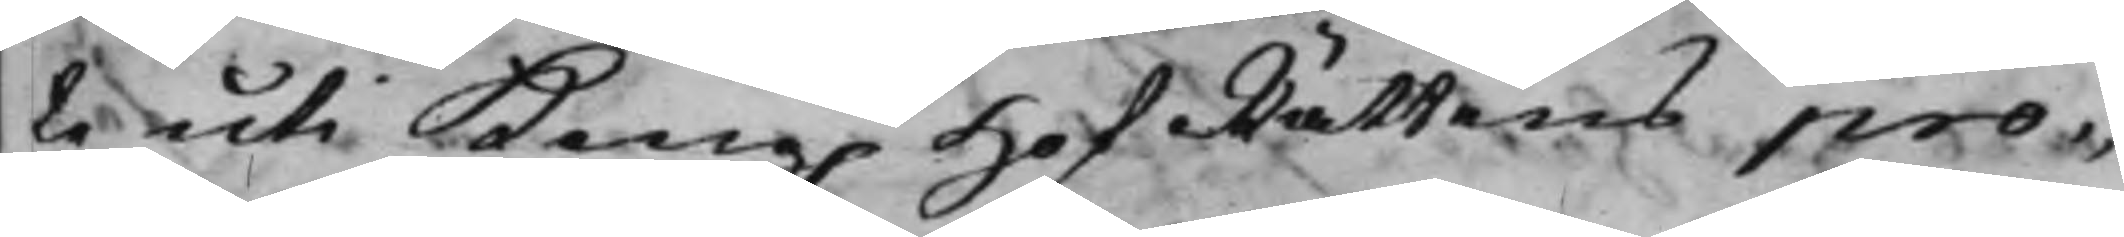te uti Kong. HofRättens pro¬
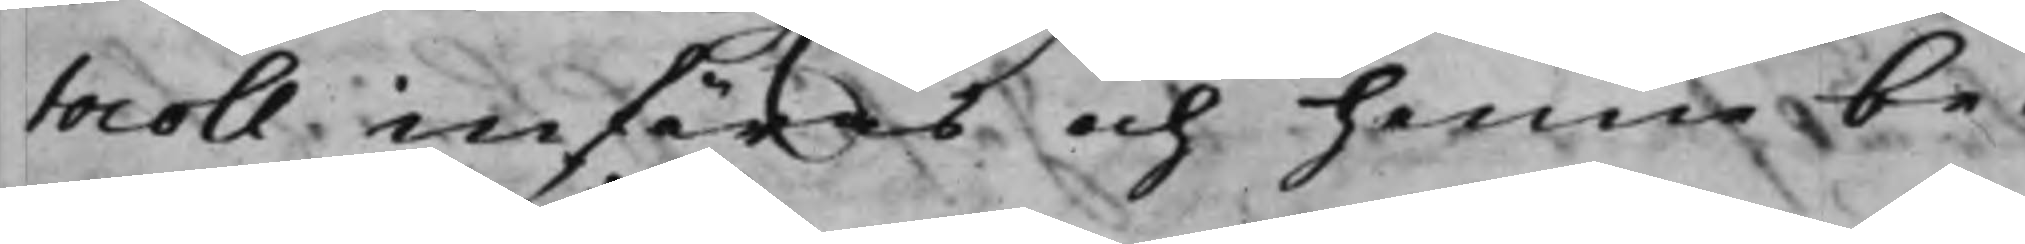tocoll införas och henne be¬
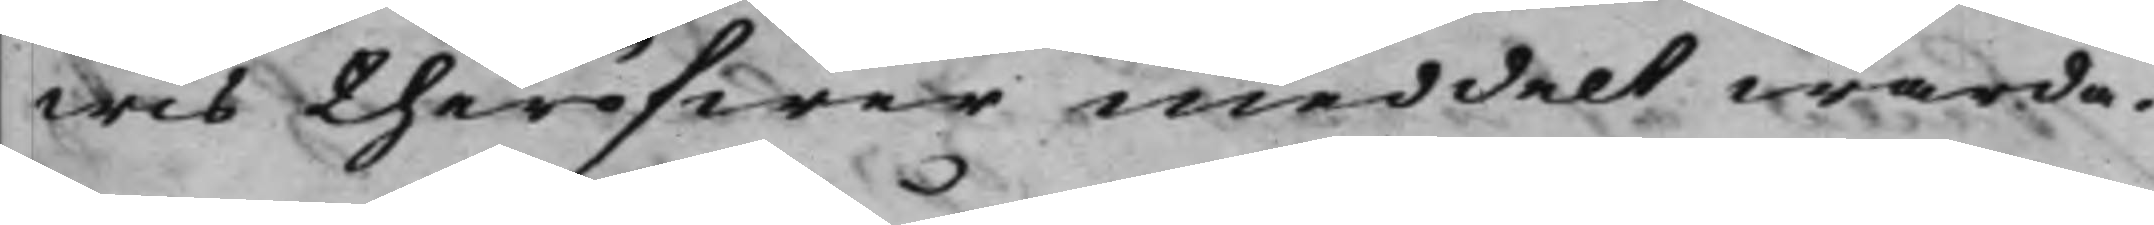wis theröfwer meddelt warda.
